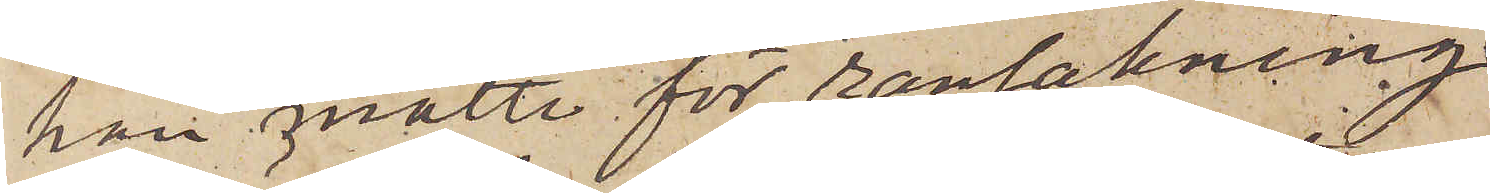han måtte för ransakning
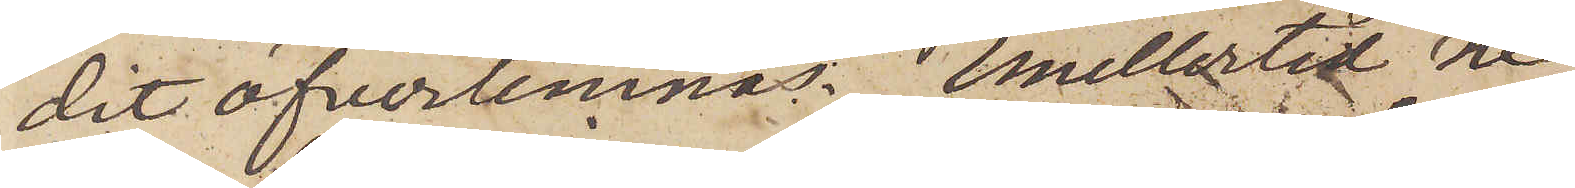dit öfverlemnas. Emellertid ne¬
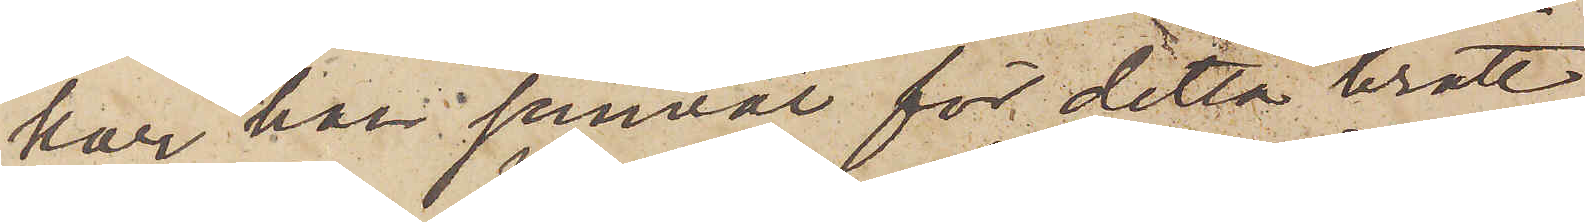kar han jemväl för detta brott.
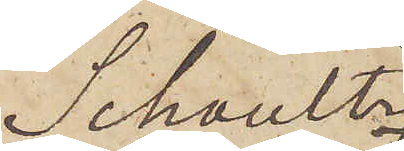Schoultz
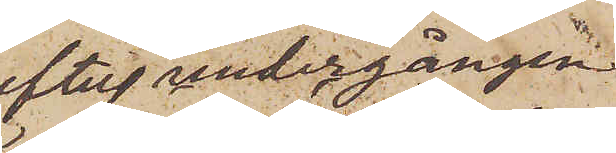efter undergången
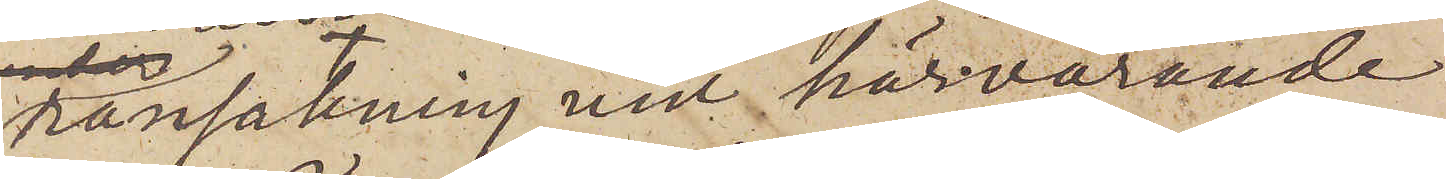ransakning vid härvarande
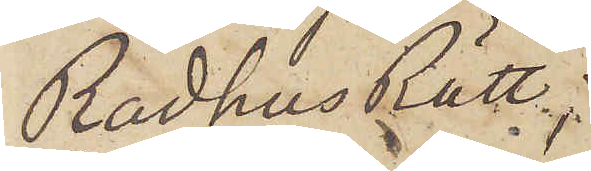Rådhus Rätt
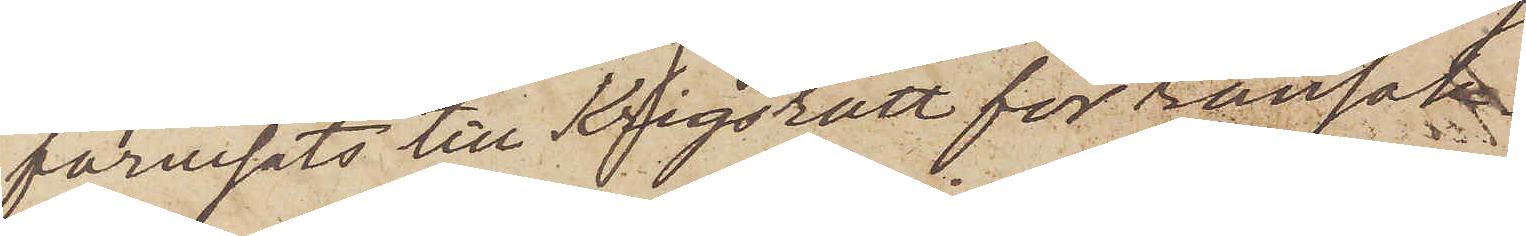förvisats till Krigsrätt för ransakn¬
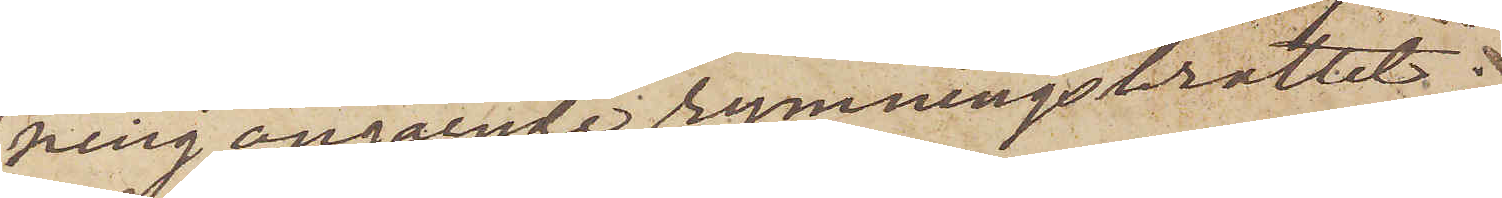ning angående rymningsbrottet;
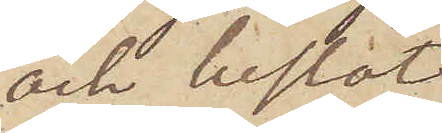och beslöt
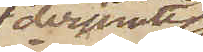derjemte
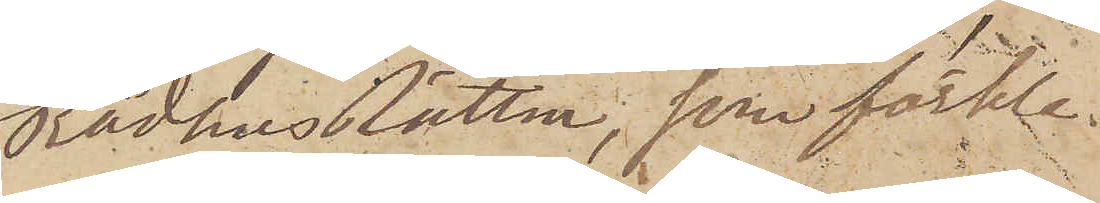Rådhusrätten, som förkla¬
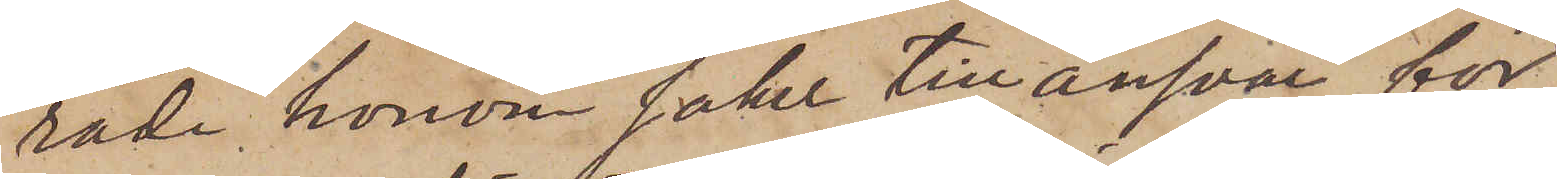rade honom saker till ansvar för
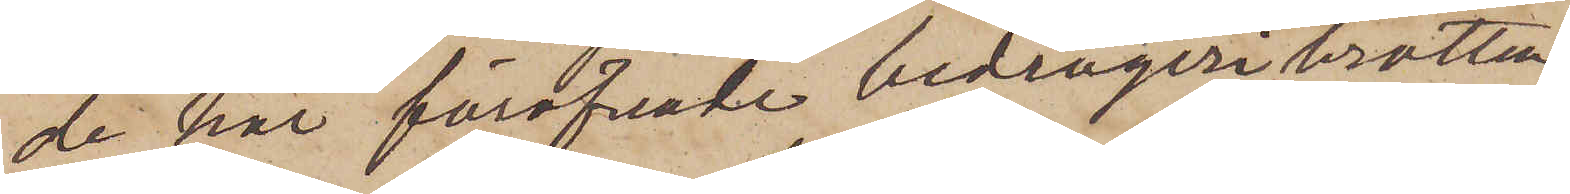de här föröfvade bedrägeribrotten,
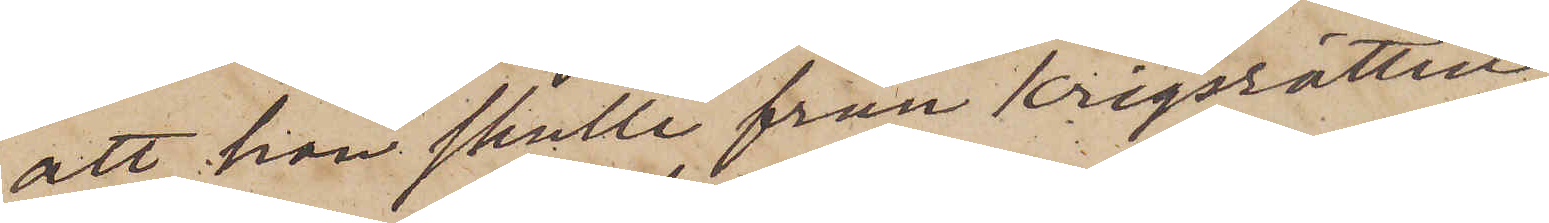att han skulle från Krigsrätten
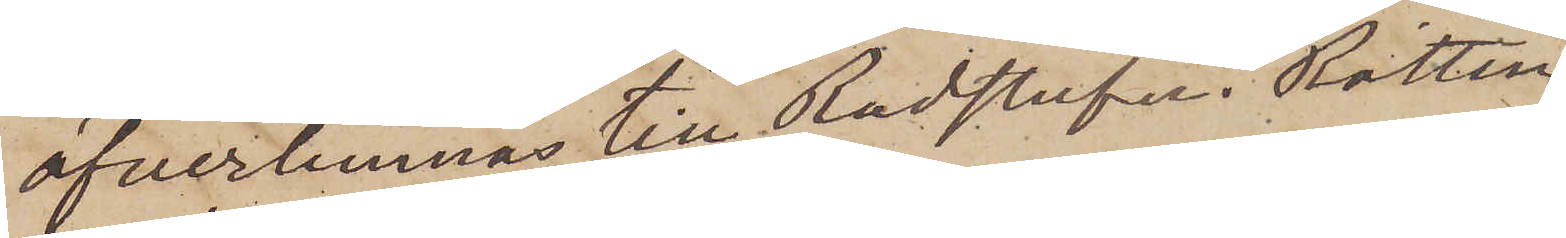öfverlemnas till Rådstufvu Rätten
